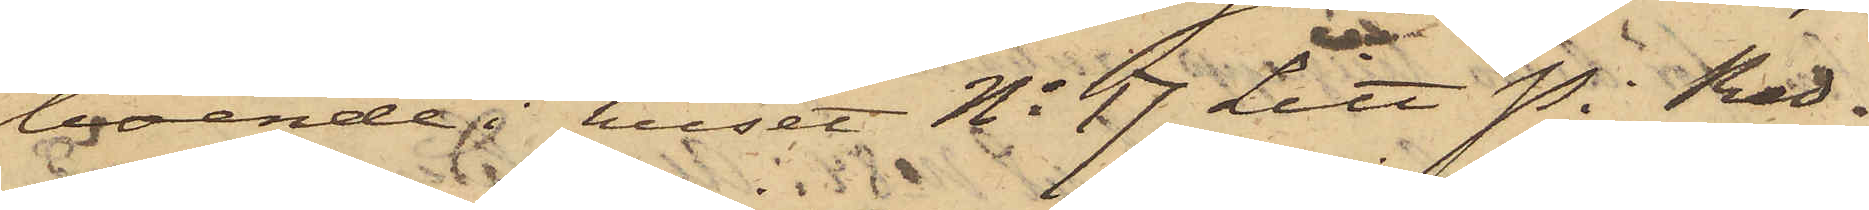boende i huset No 17 Litt P. i Red¬
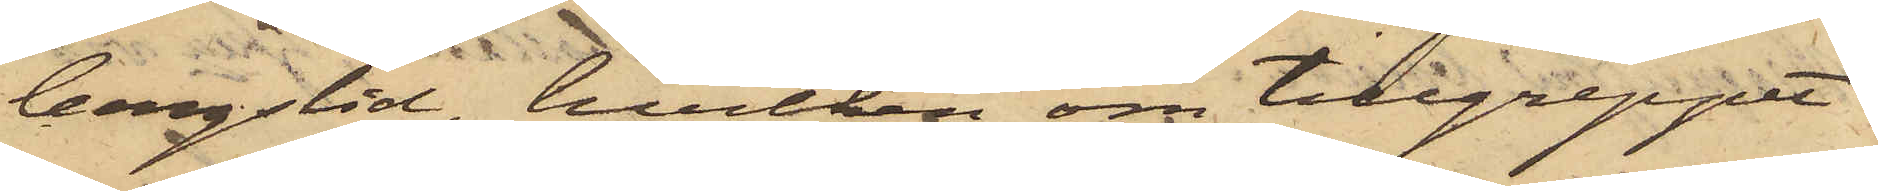bergslid, hvilken om tillgreppet
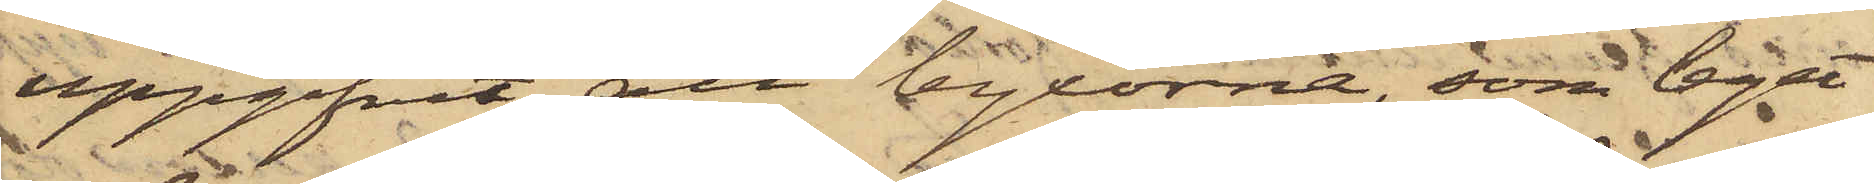uppgifvit att byxorna, som legat
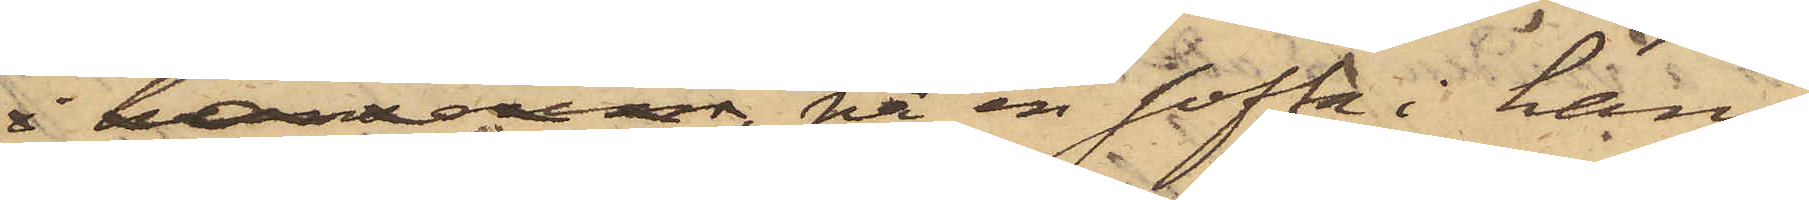i hans rum, på en soffa i hans
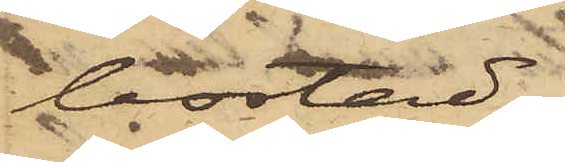bostad,
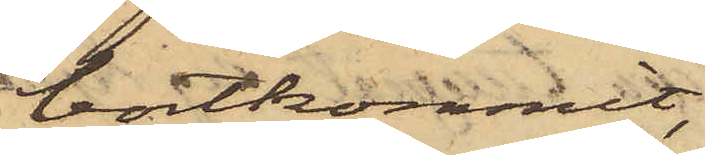bortkommit,
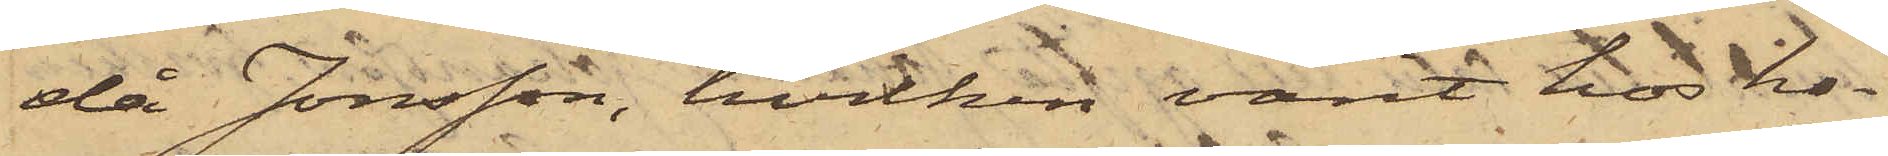då Jonsson, hvilken varit hos ho¬
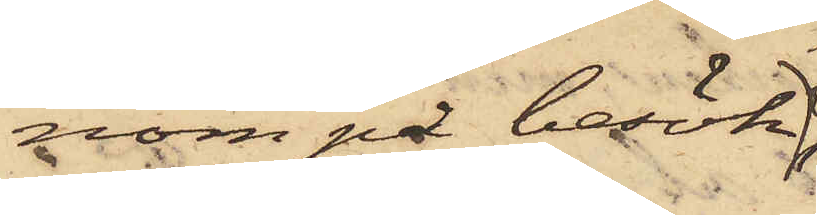nom på besök,
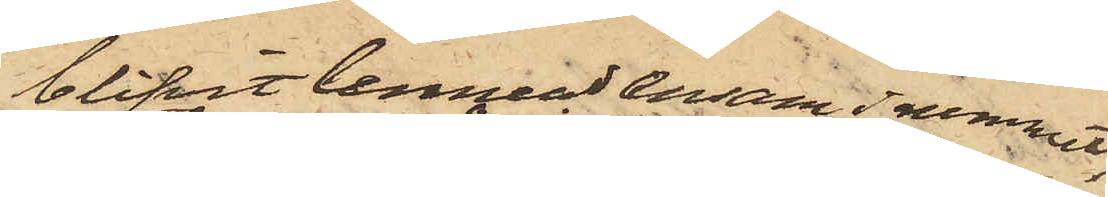blifvit lemnad ensam i rummet,
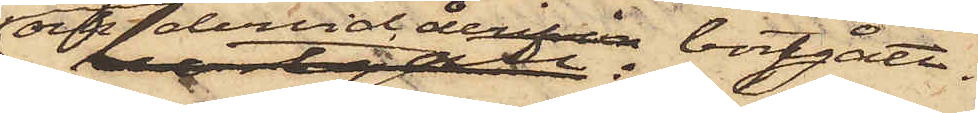och dervid derifrån bortgått.
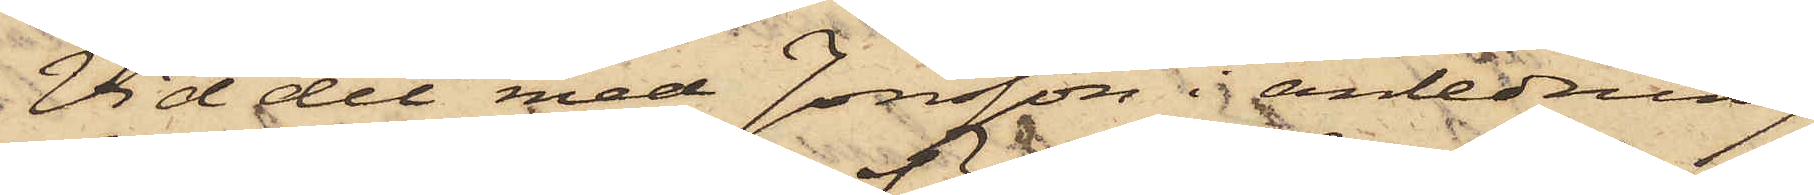Vid det med Jonsson i anledning
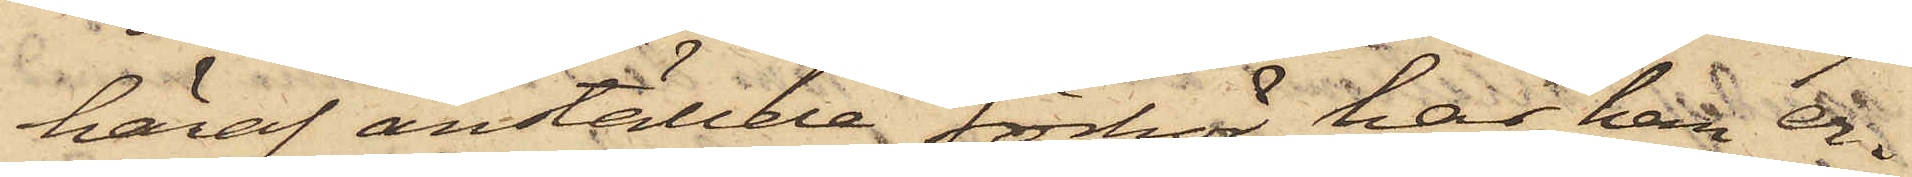häraf anställde förhör har han er¬
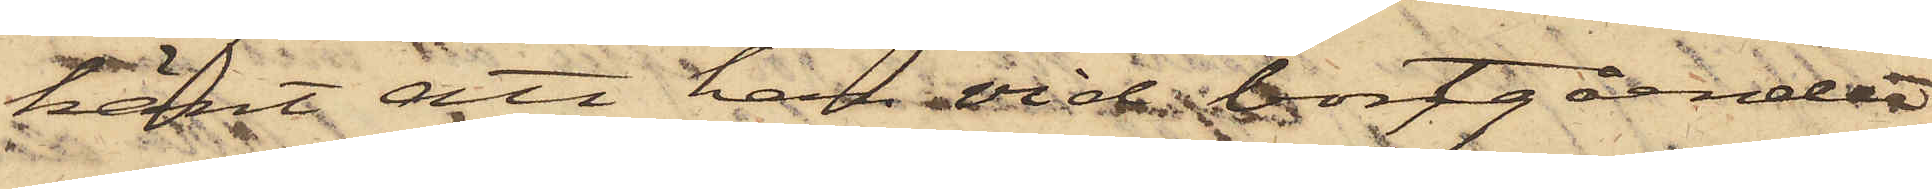känt att han vid bortgåendet
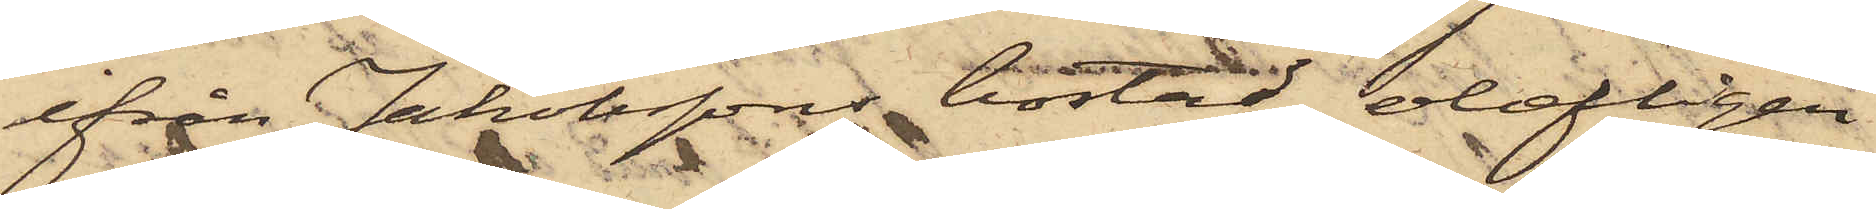ifrån Johanssons bostad olofligen
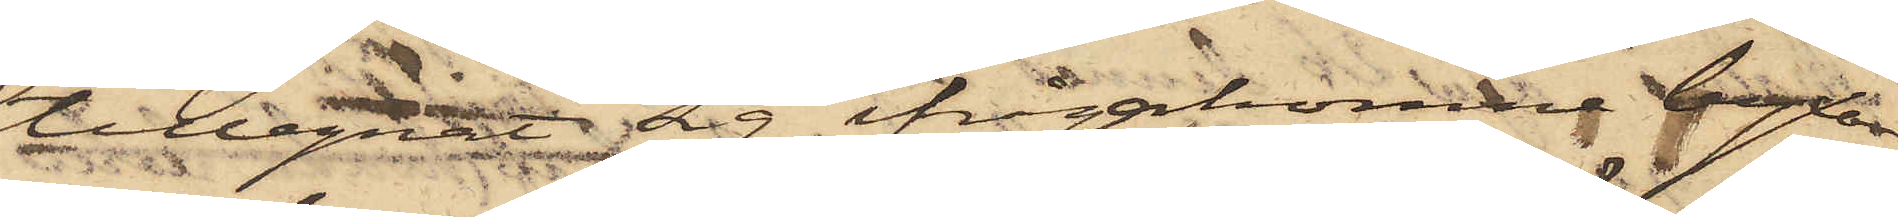tillegnat sig ifrågakomne byxor
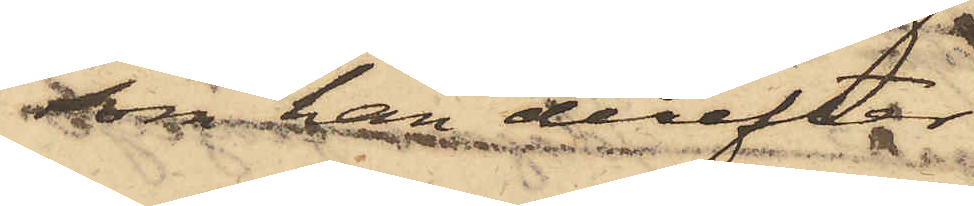som han derefter
